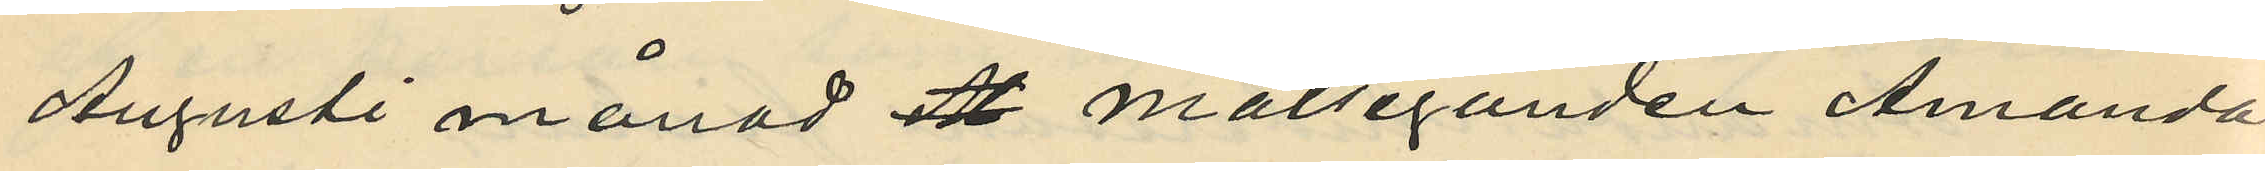Augusti månad ett målseganden Amanda
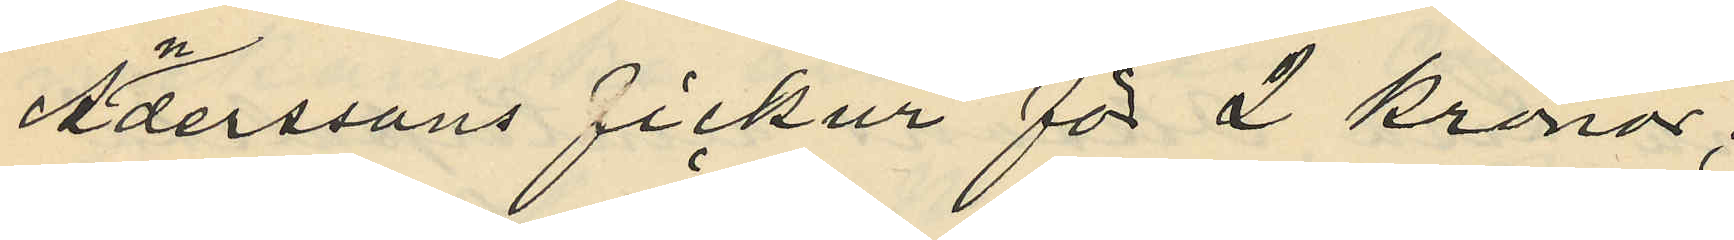Anderssons fickur för 2 kronor;
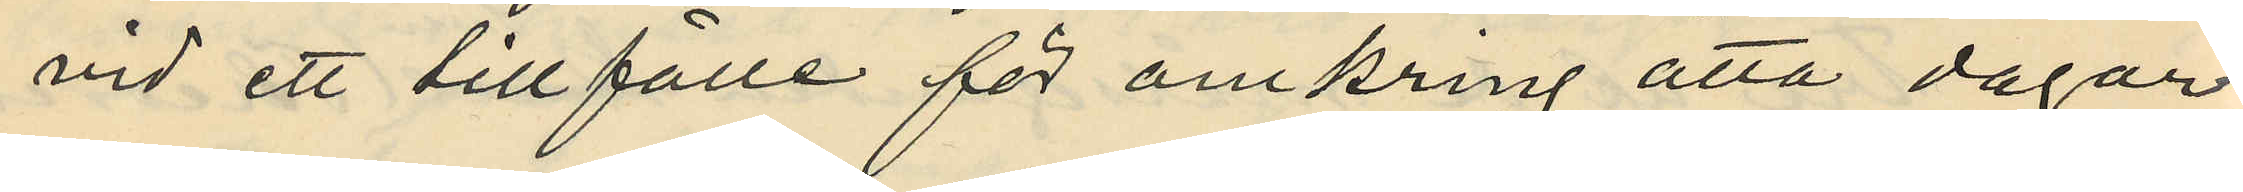vid ett tillfälle för omkring åtta dagar
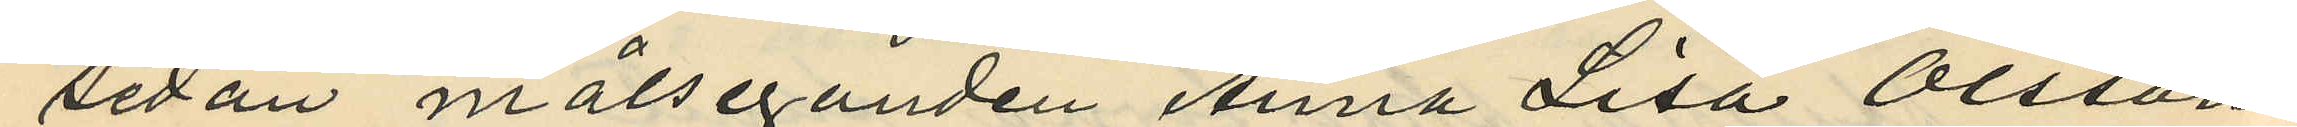sedan målseganden Anna Lisa Olssons
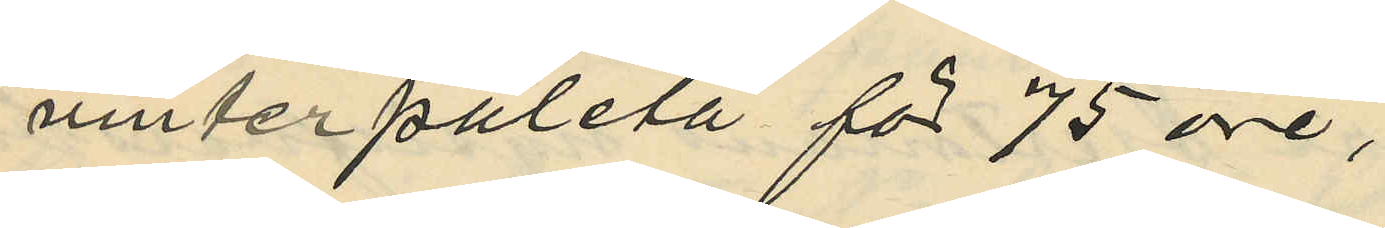vinterpaletå för 75 öre;
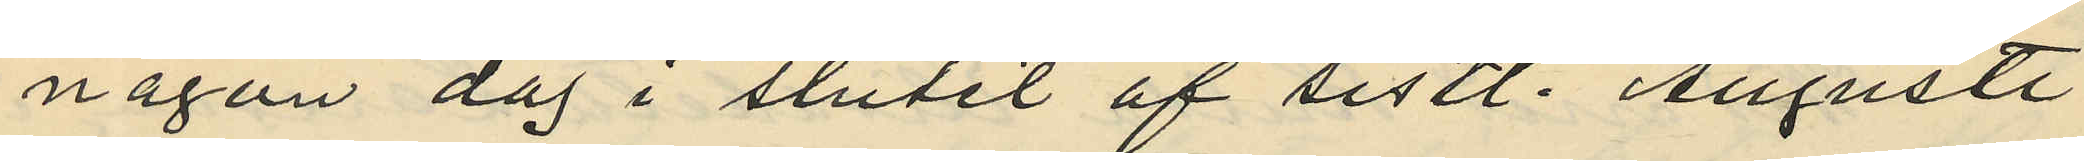någon dag i slutet af sistl. Augusti
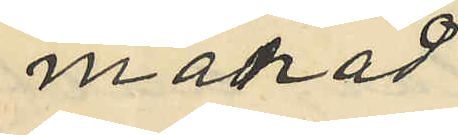månad
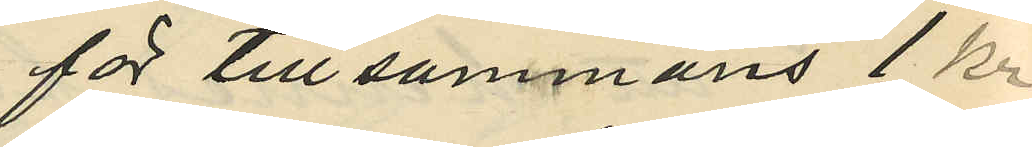för tillsammans 1 kr
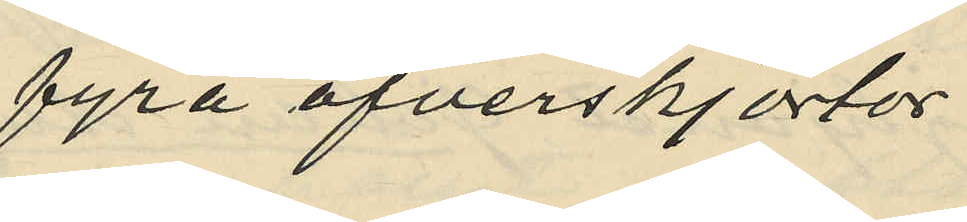fyra öfverskjortor
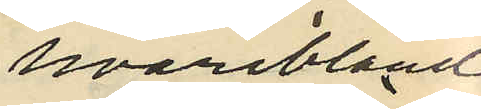hvaribland
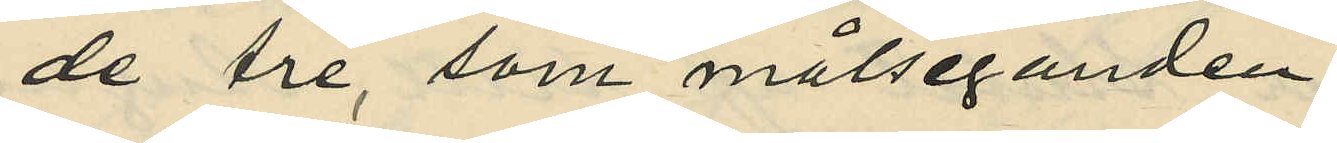de tre, som målseganden
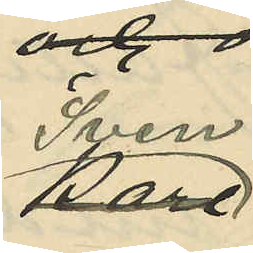Sven
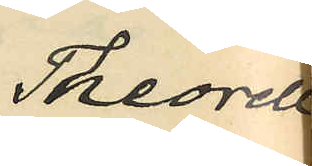Theorell
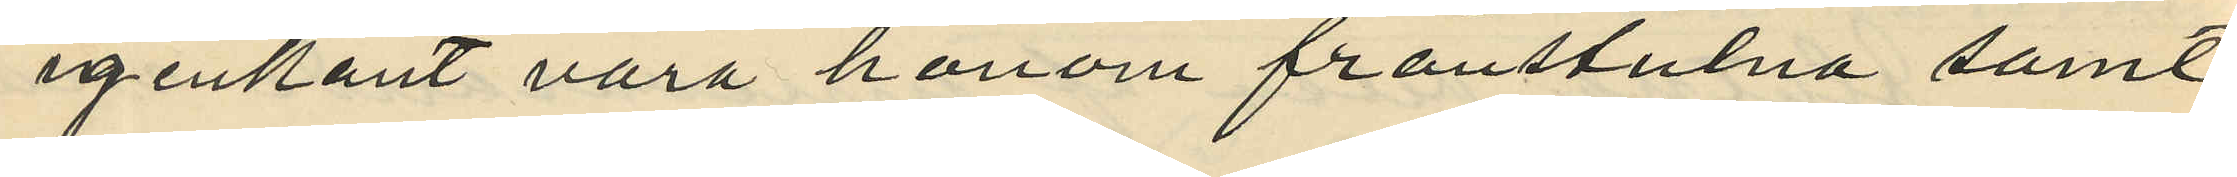igenkänt vara honom frånstulna samt
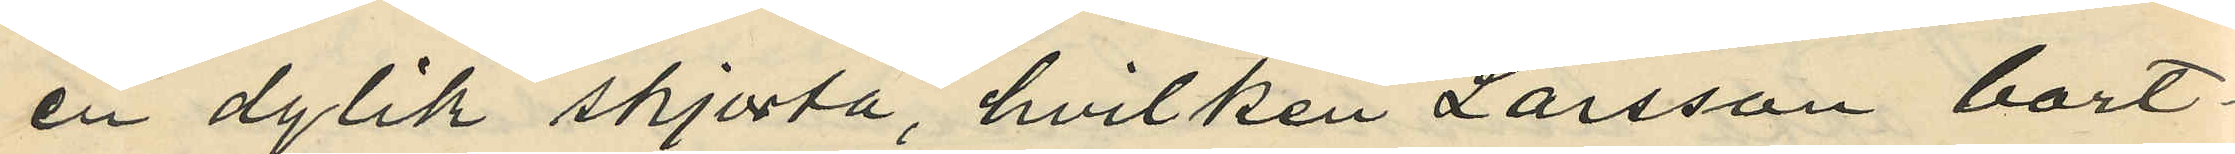en dylik skjorta, hvilken Larsson bort¬
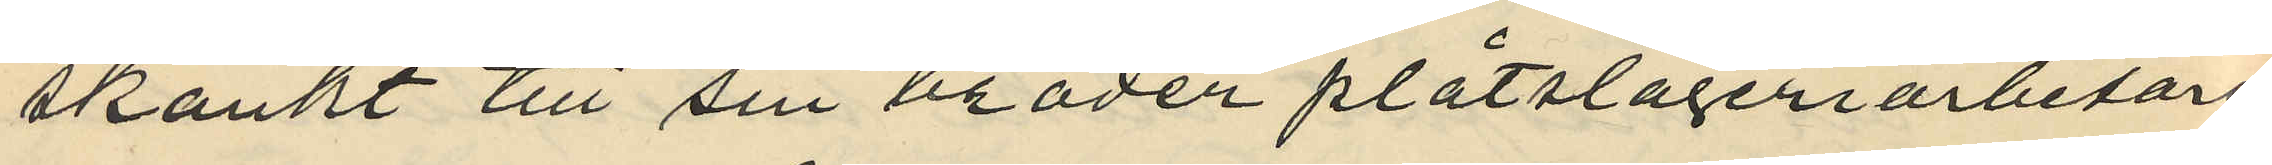skänkt till sin broder plåtslageriarbetaren
